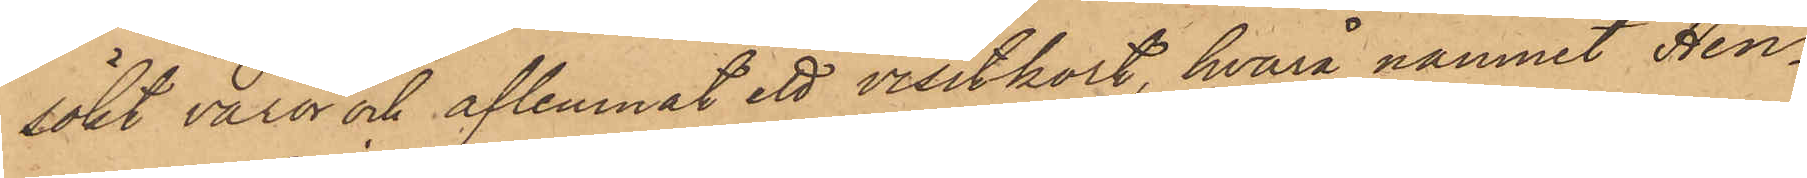sökt varor och aflemnat ett visitkort, hvarå namnet Hen¬
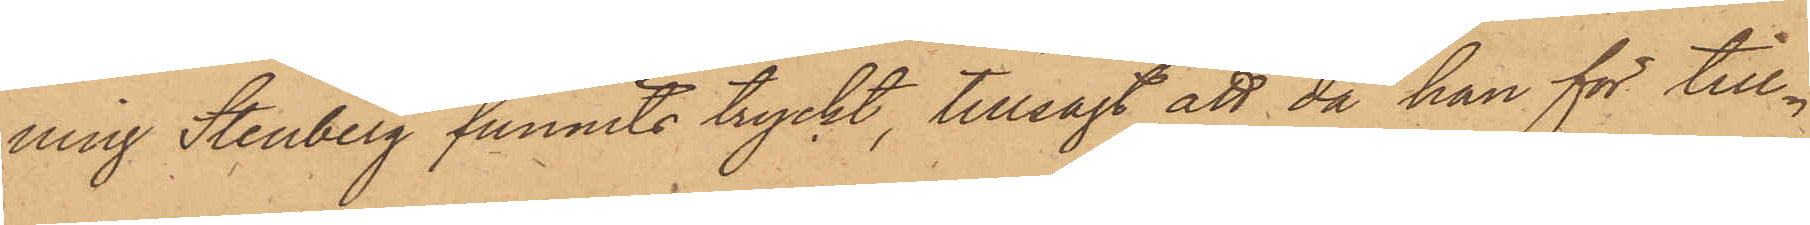ning Stenberg funnits tryckt, tillsagt att då han för till¬
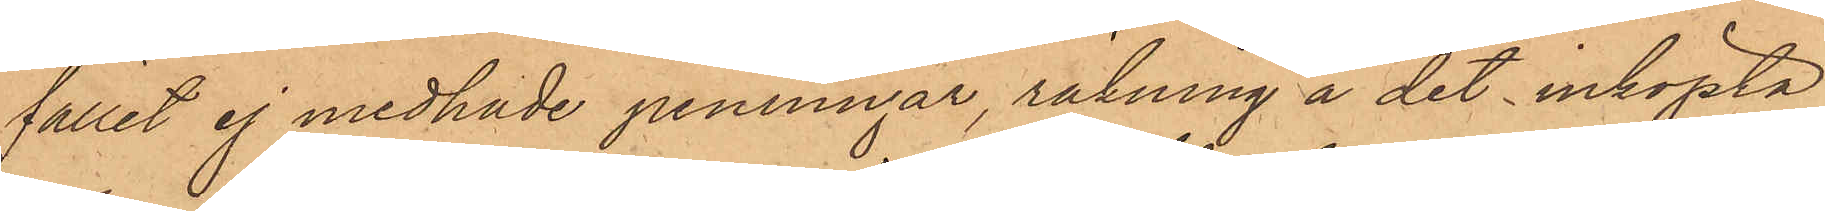fället ej medhade penningar, räkning å det inköpta
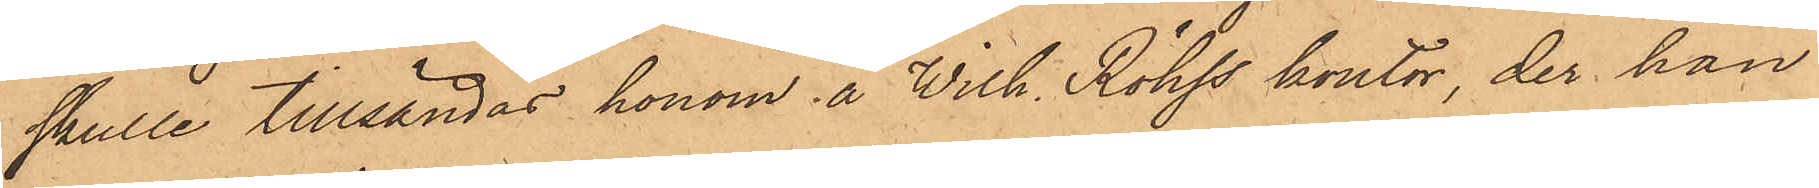skulle tillsändas honom å Wilh. Röhss kontor, der han
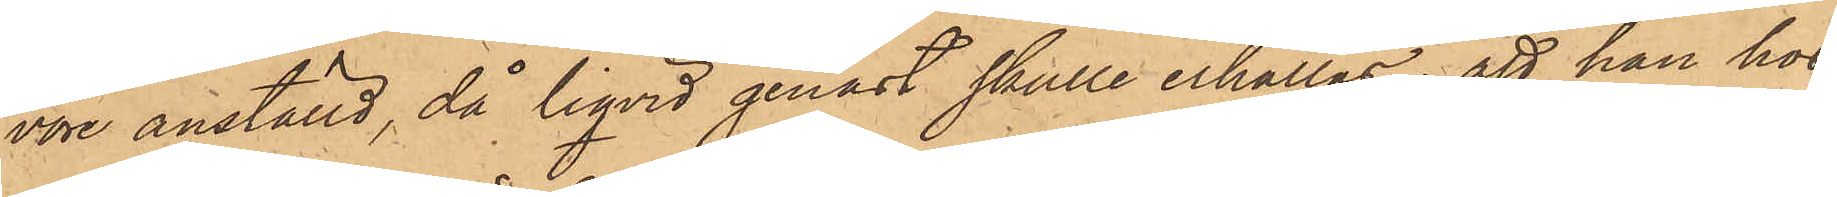vore anställd, då liqvid genast skulle erhållas; att han hos
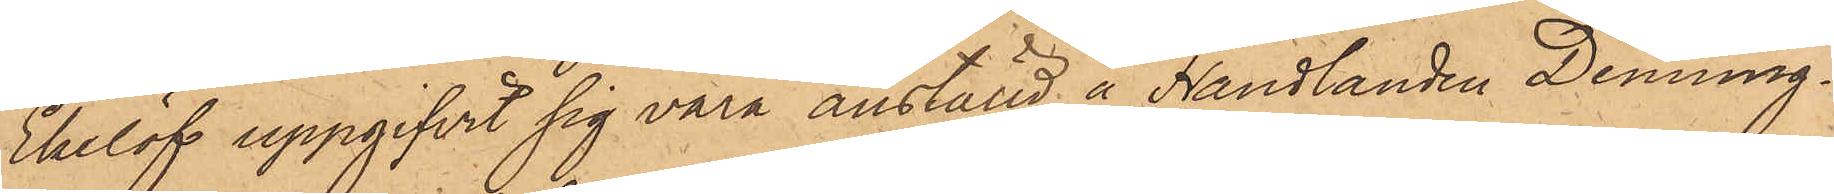Ekelöf uppgifvit sig vara anställd å Handlanden Denning¬
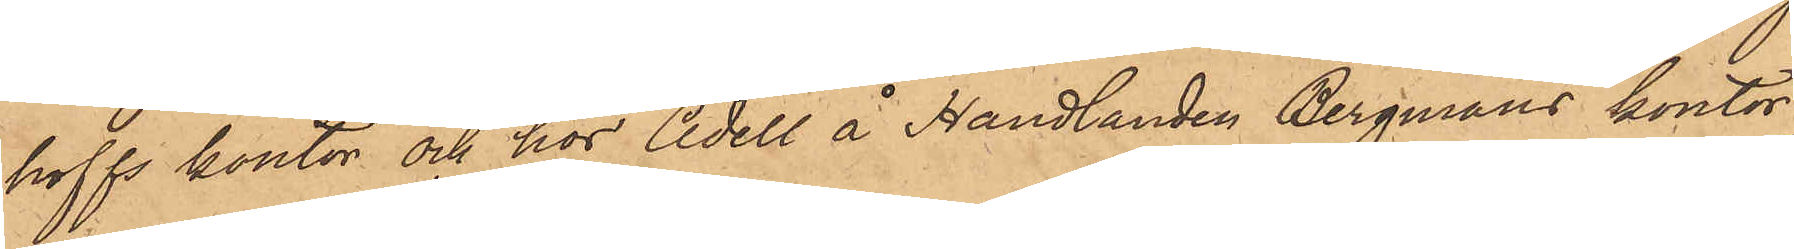hoffs kontor och hos Adell å Handlanden Bergmans kontor;
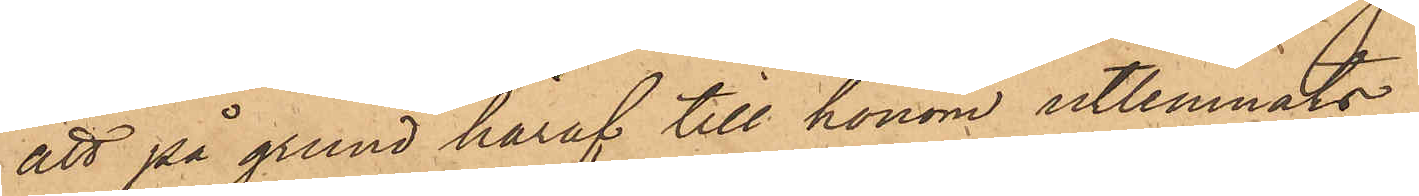att på grund häraf till honom utlemnats.
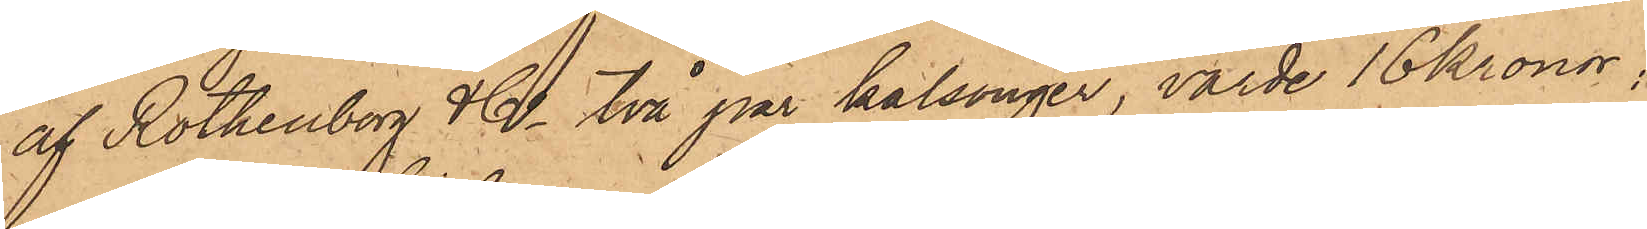af Rothenborg & Co två par kalsonger, värde 16 kronor;
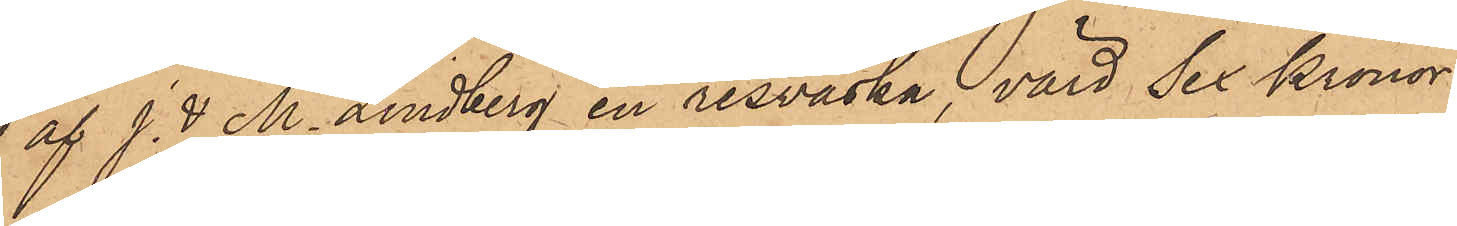 af J. & M. Lindberg en resväska, värd Sex Kronor;
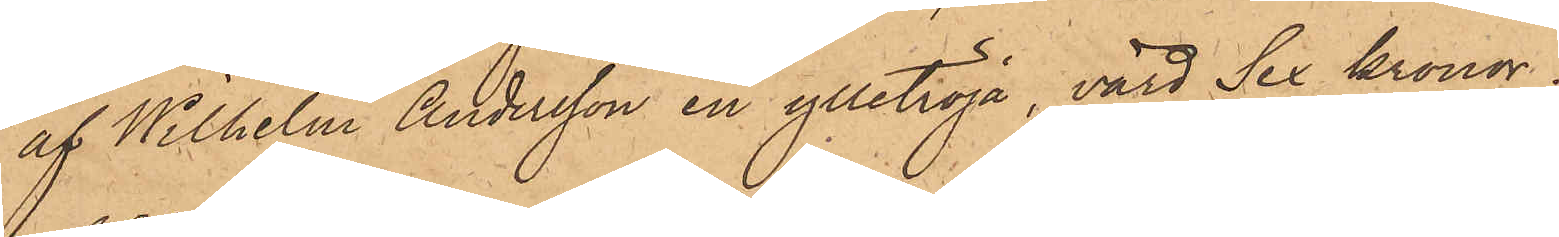af Wilhelm Andersson en ylletröja, värd Sex Kronor;
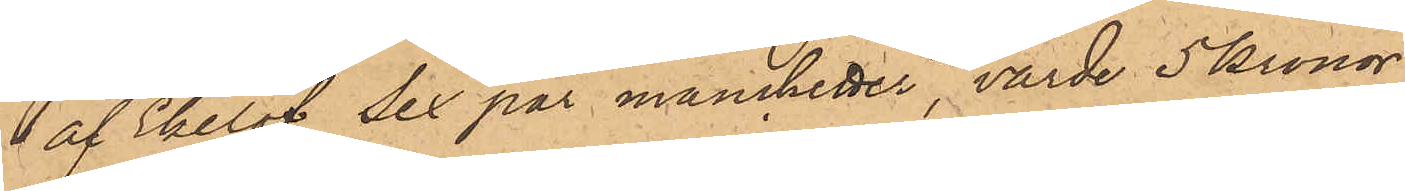1 af Ekelöf sex par manchetter, värde 5 Kronor
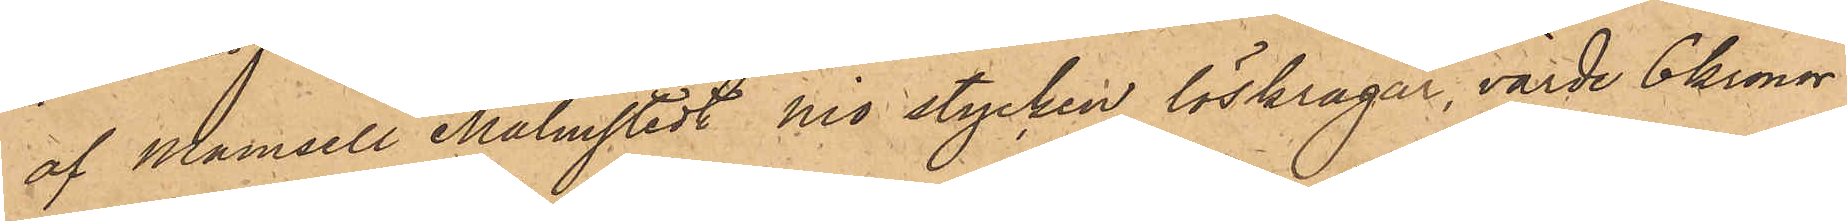af Mamsell Malmstedt nio stycken löskragar, värde 6 kronor
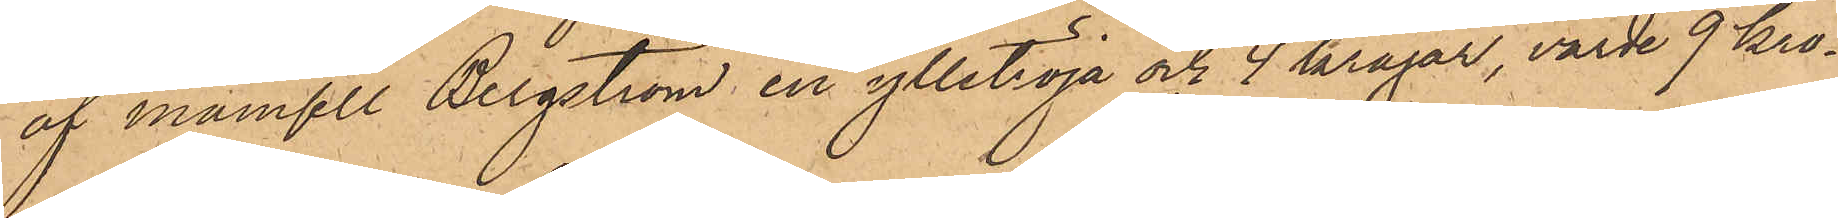af Mamsell Bergström, en ylletröja och 4 kragar, värde 9 Kro¬
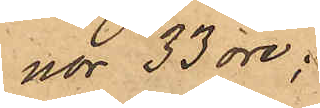nor 33 öre;
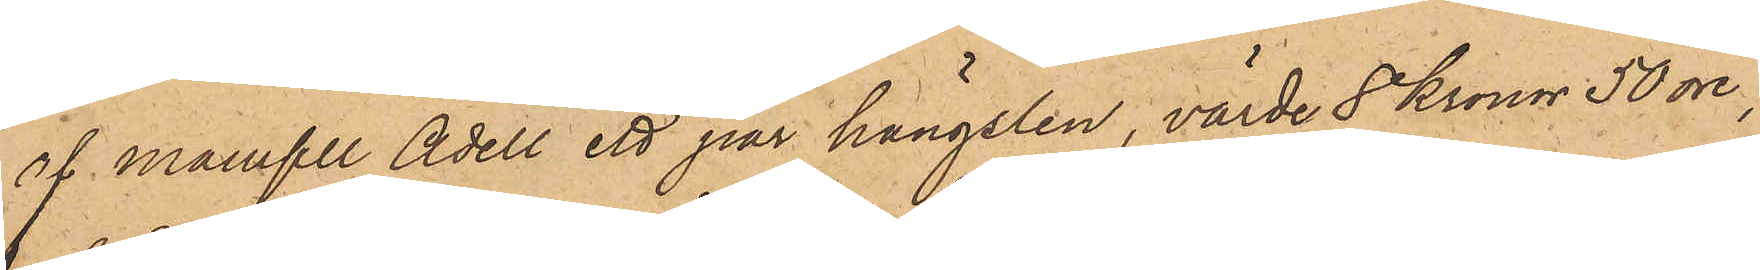af Mamseel Adell ett par hängslen, värde 8 Kronor 50 öre;
